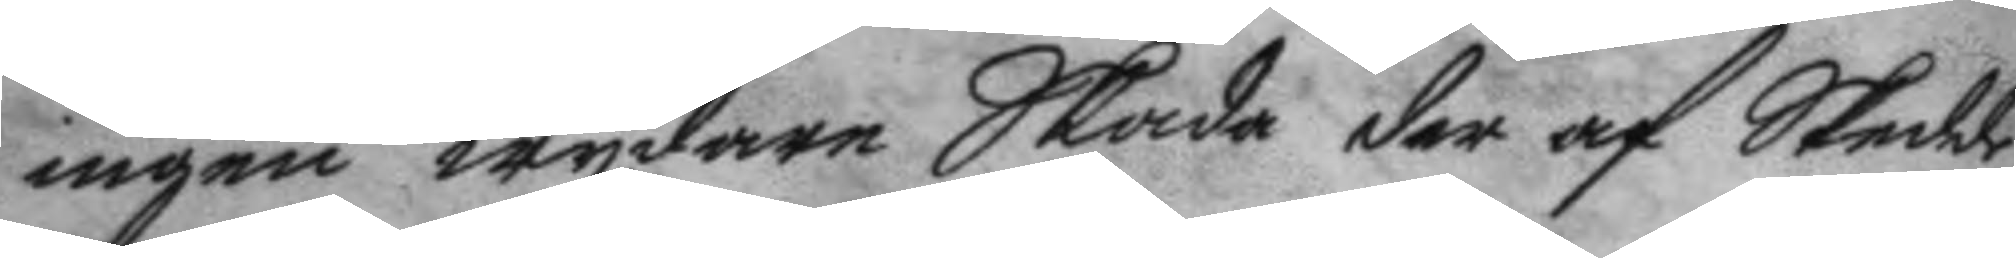ingen wydare Skada der af Skedde,
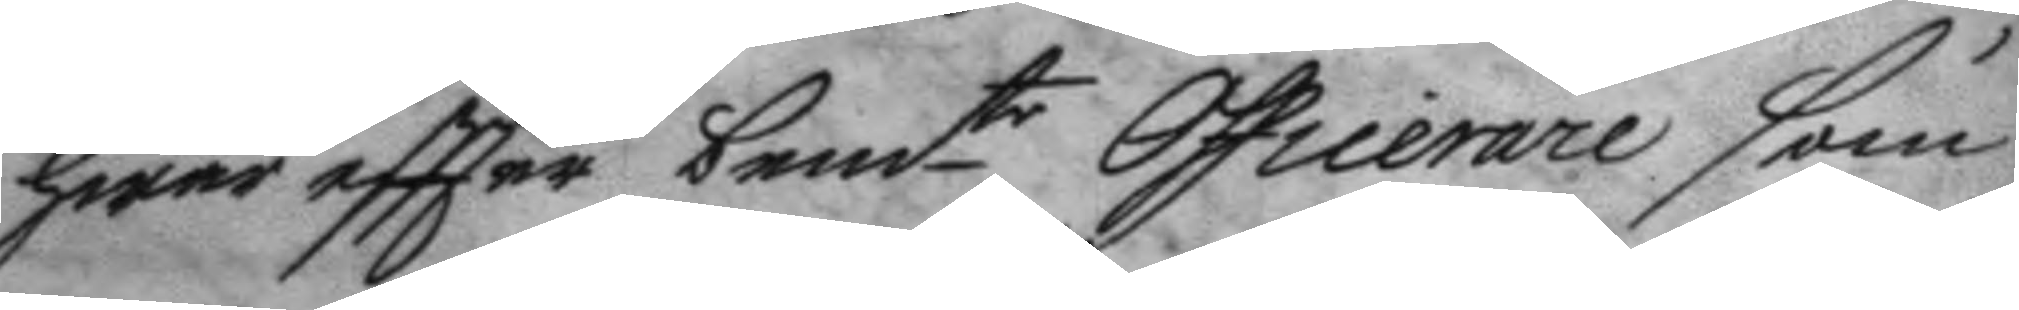hwar eftter bemte Officerare som
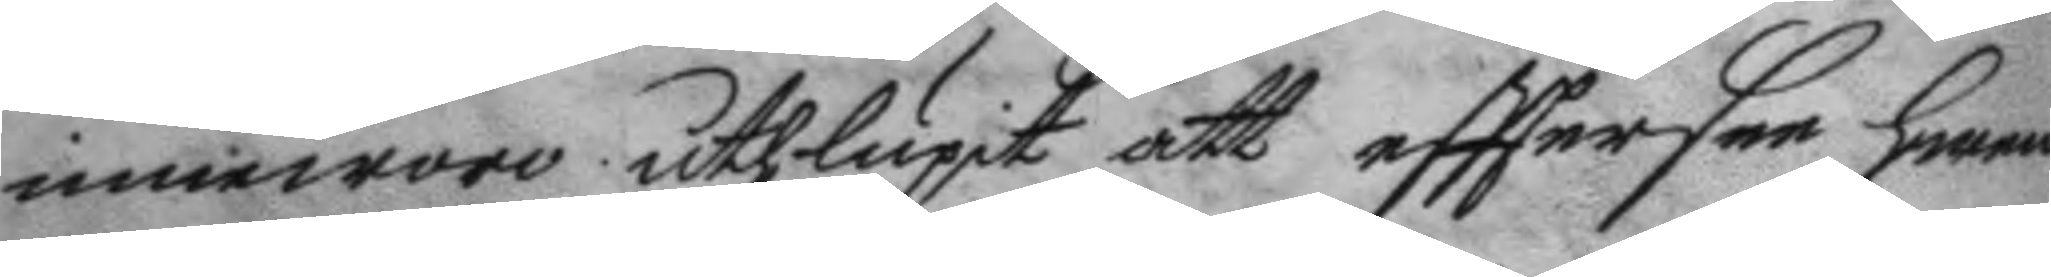inneworo uthlupit att efttersee hwem
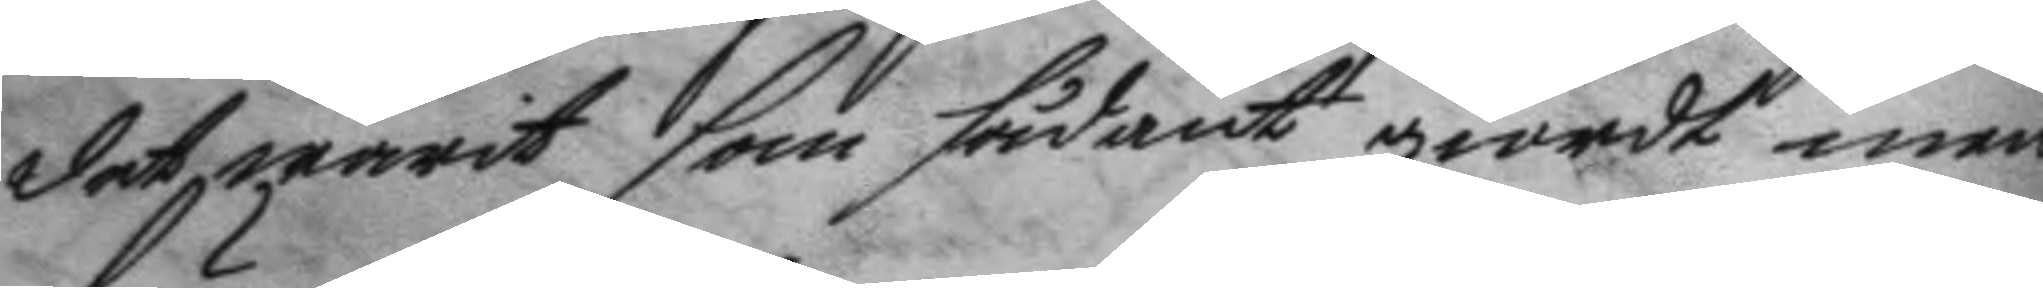det warit som sådant giordt men
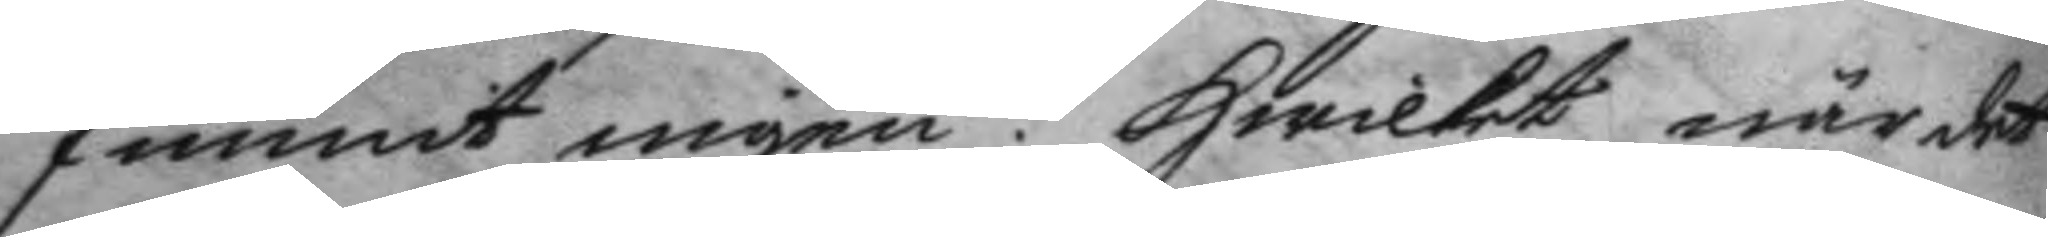funnit ingen. Hwilket när det
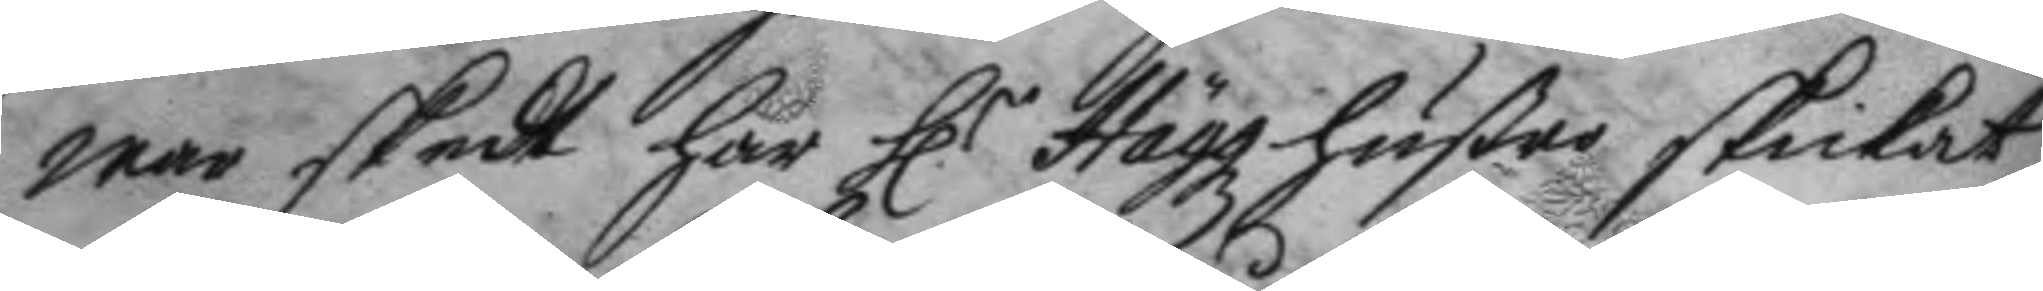war skedt har H.r Häggz hustro skickat
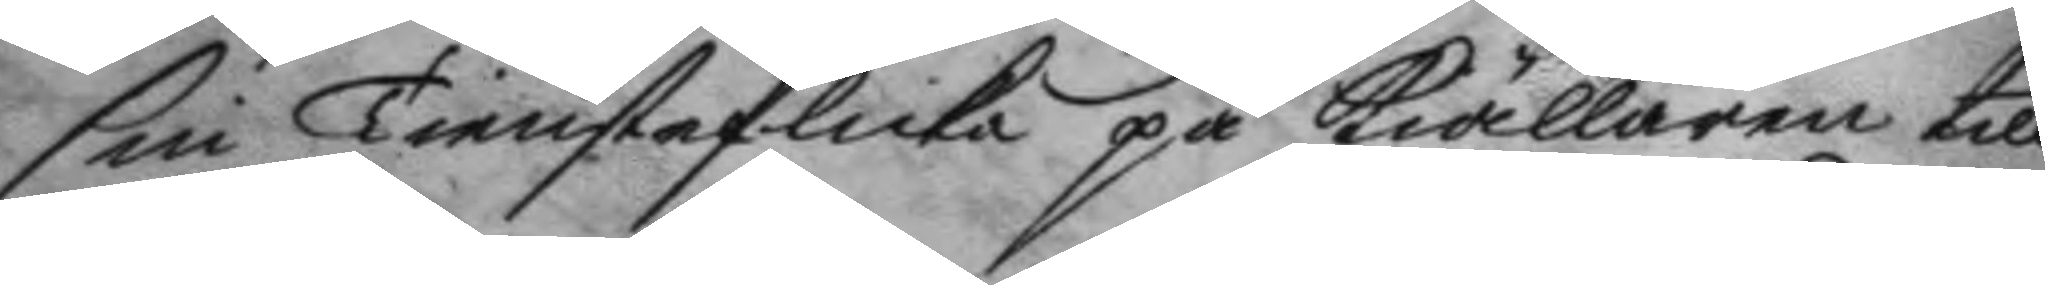sin Tiensteflicka på Kiällaren till
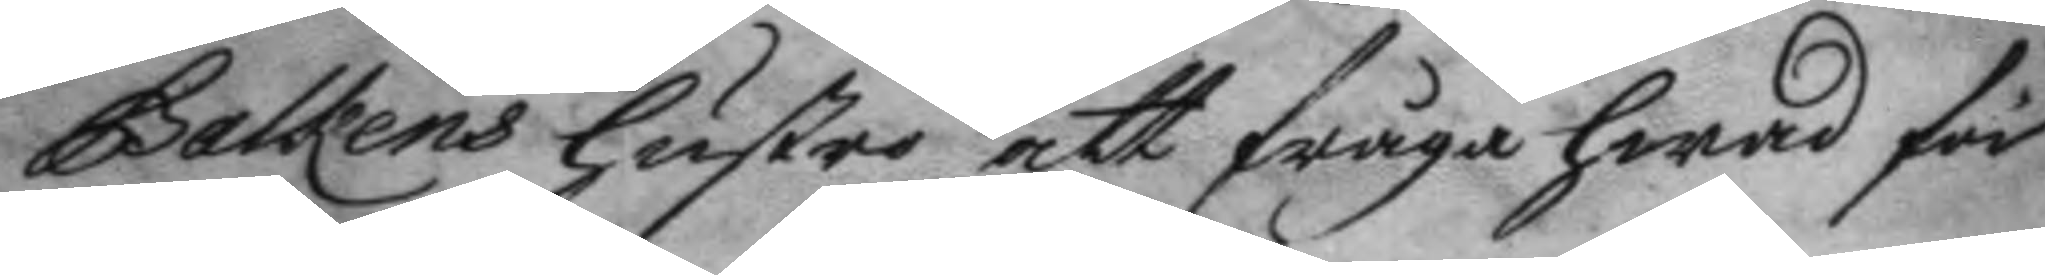Galkens hustru att fråga hwad för
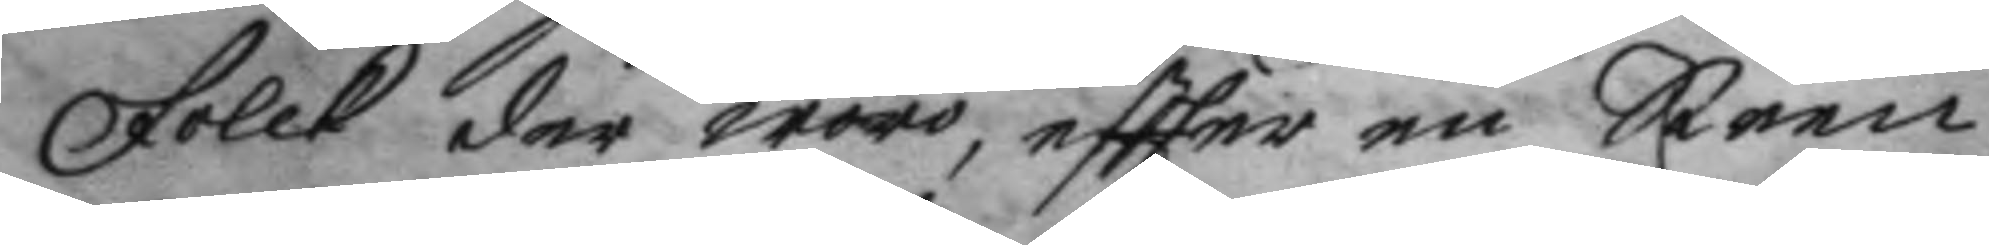Folck der woro, eftter en Steen
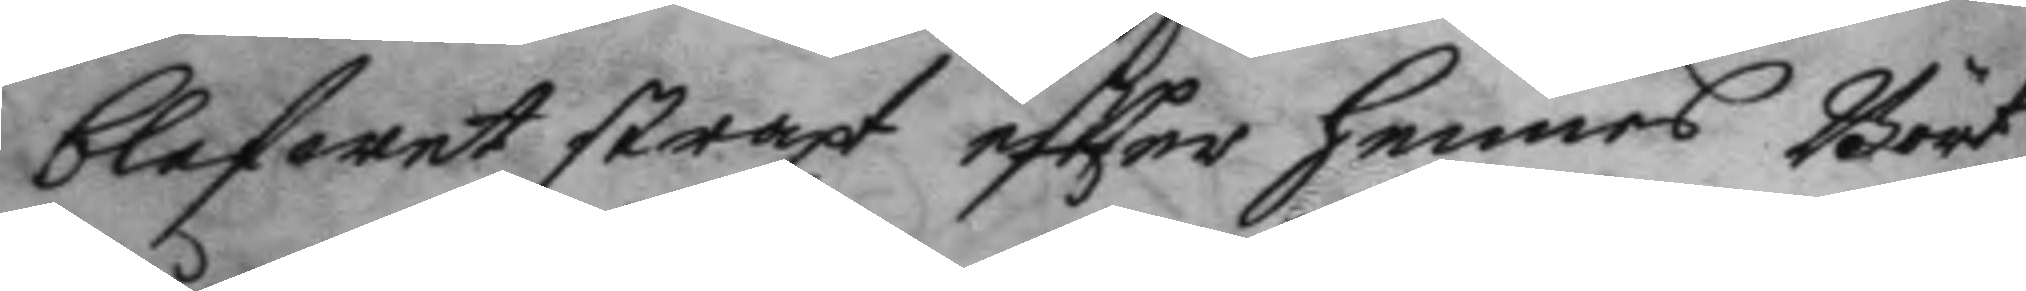blefwet straxt eftter hennes Bårt¬
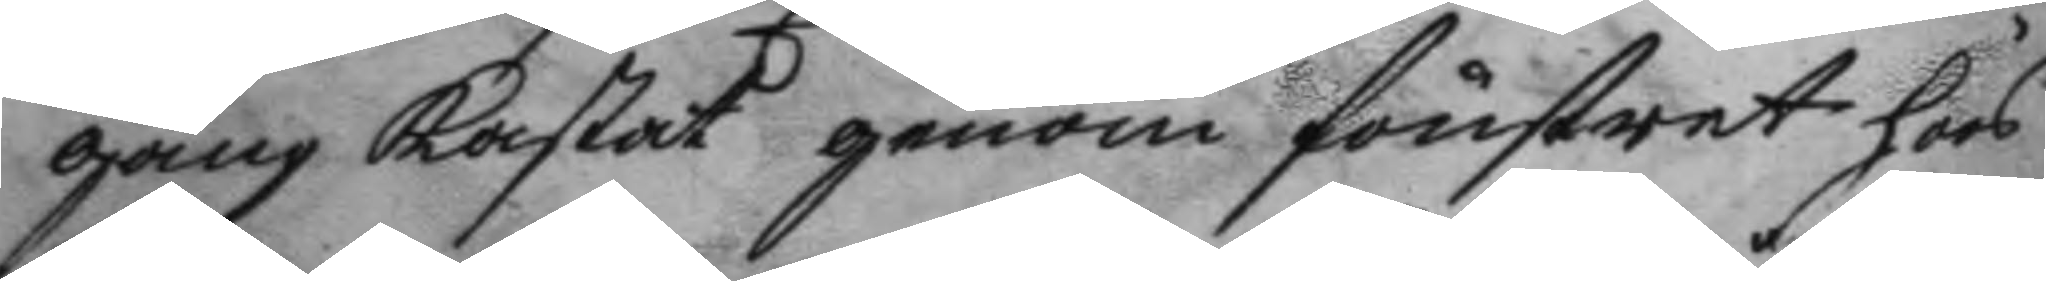gång kastat genom fönstret hoos
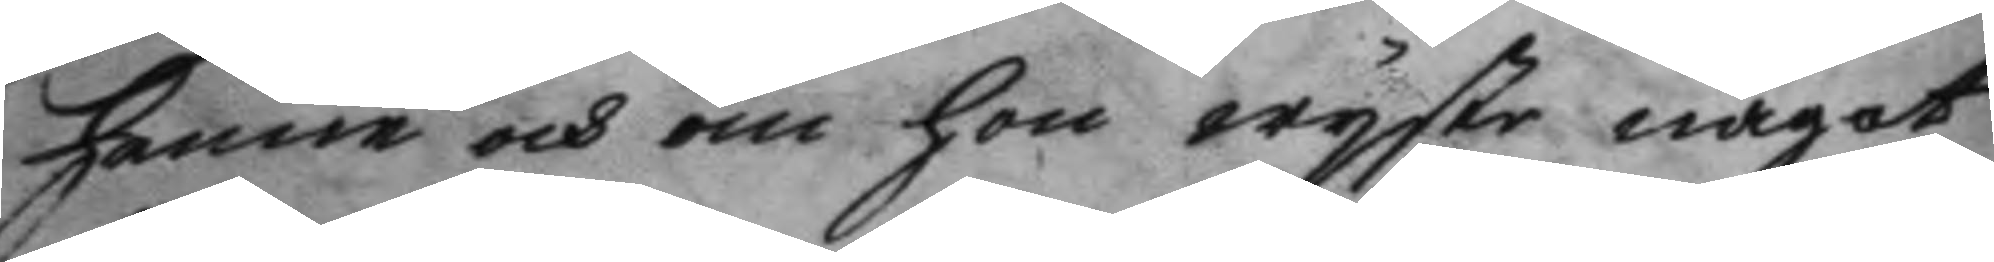henne och om hon wyste något
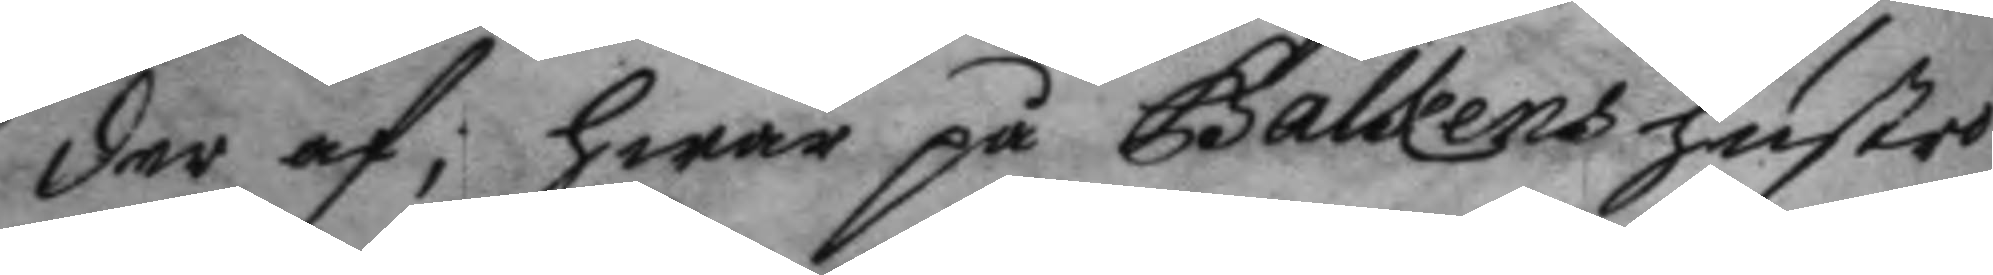der af; hwar på Galkens hustri
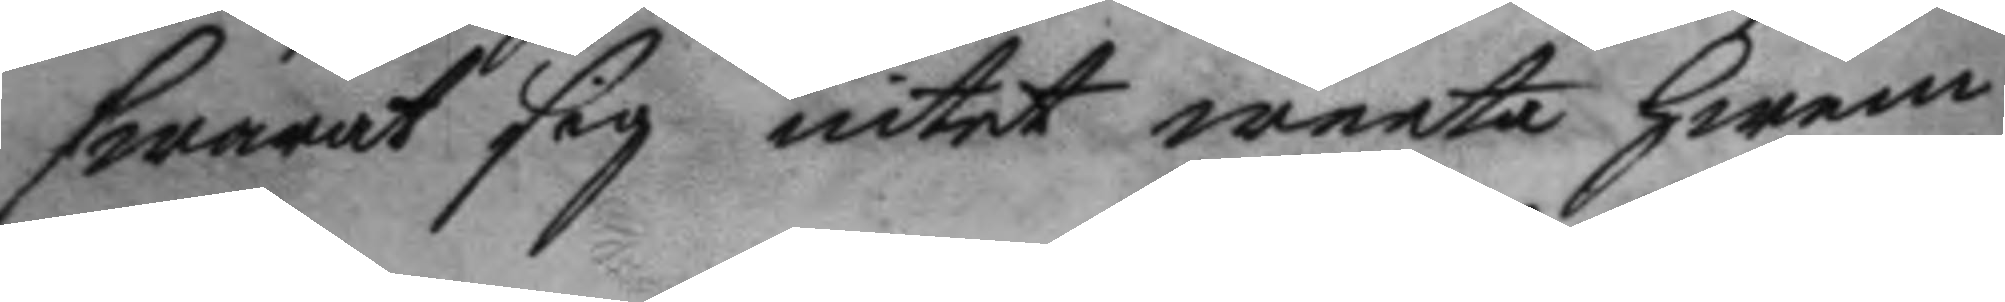swarat sig intet weeta hwem 
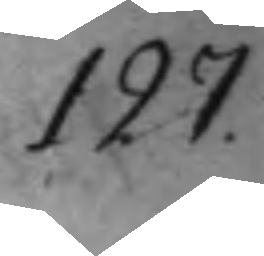127.
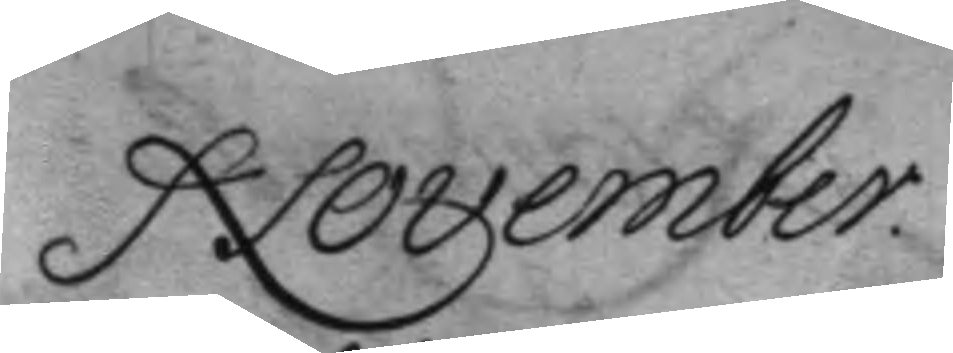November
